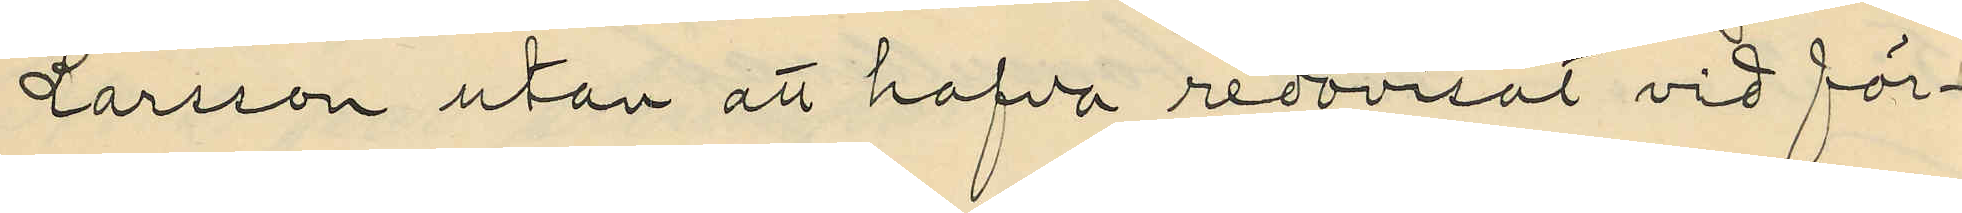Larsson utan att hafva redovisat vid för¬
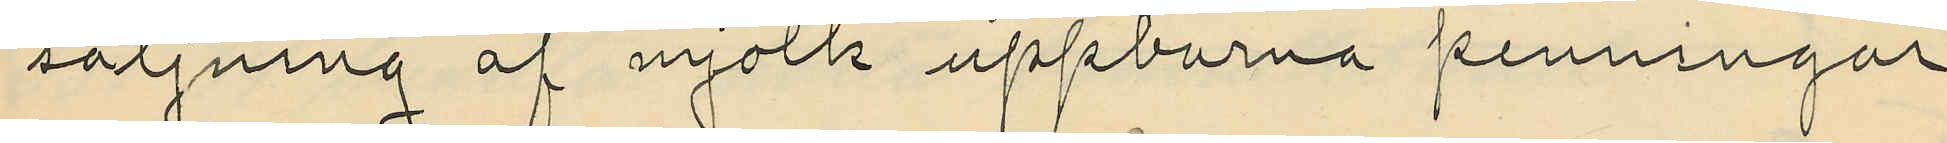säljning af mjölk uppburna penningar
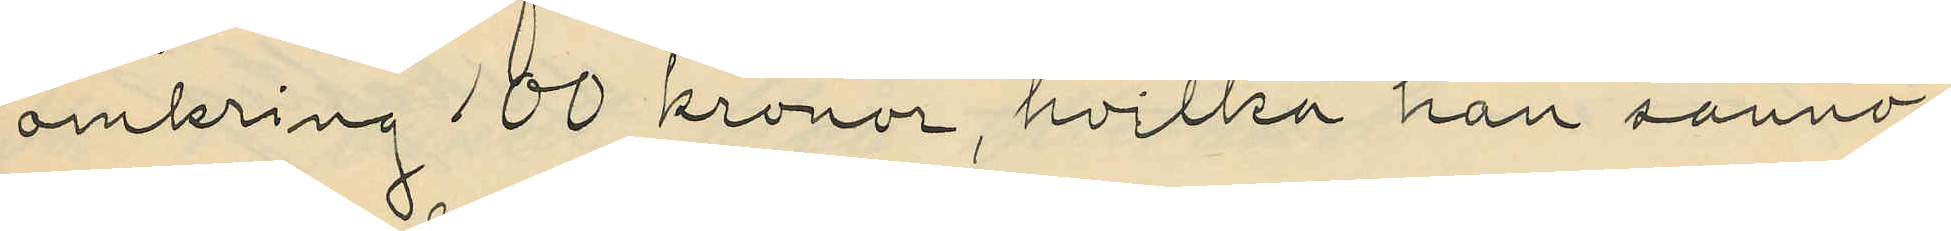omkring 100 kronor, hvilka han sanno¬
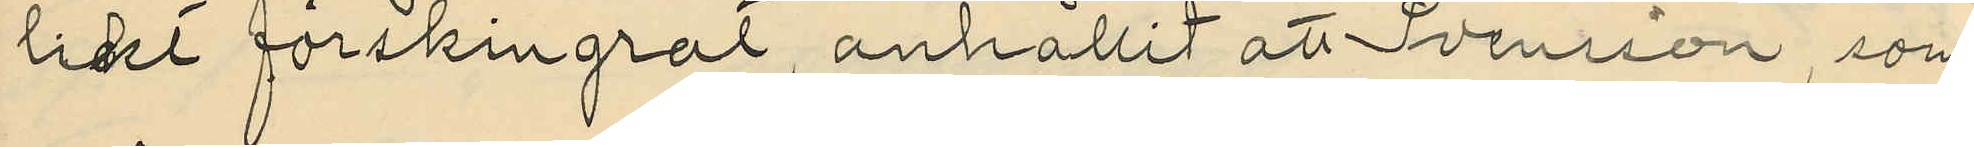likt förskingrat, anhållit att Svensson som
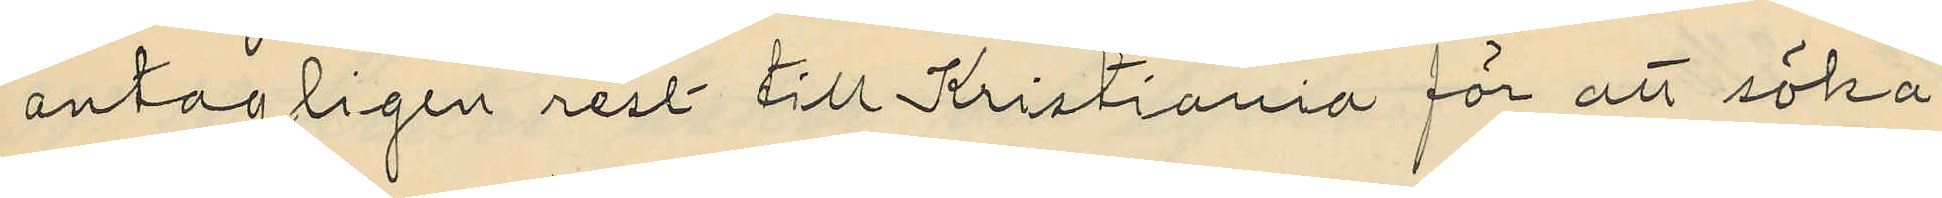antagligen rest till Kristiania för att söka
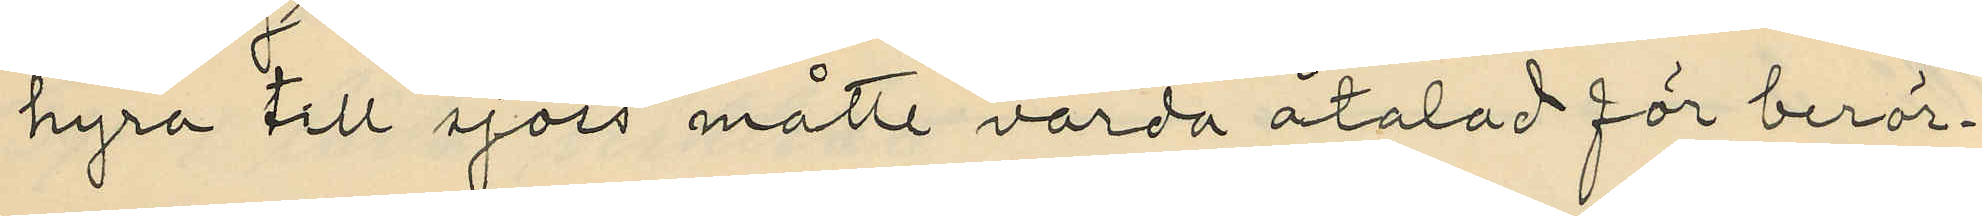hyra till sjöss måtte varda åtalad för berör¬
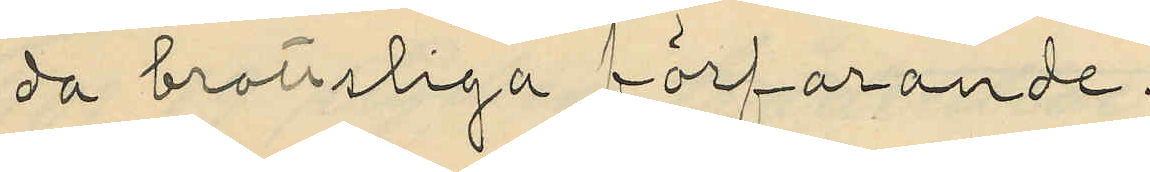da brottsliga förfarande.
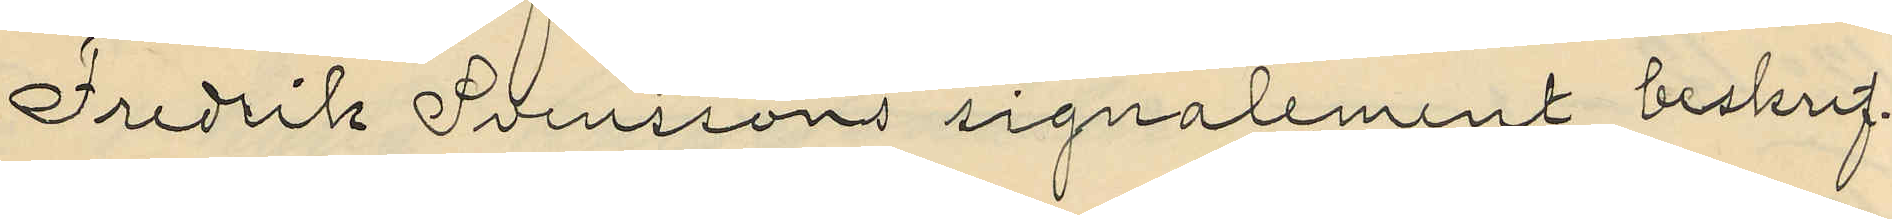Fredrik Svenssons signalement beskrif¬
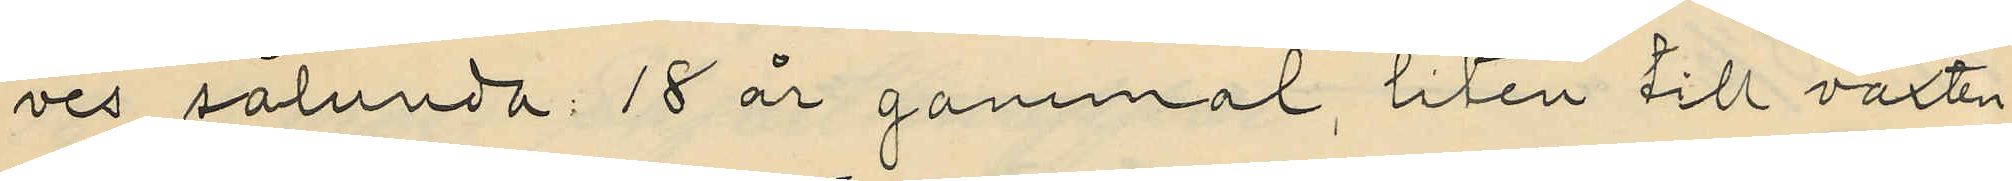ves sålunda: 18 år gammal, liten till växten
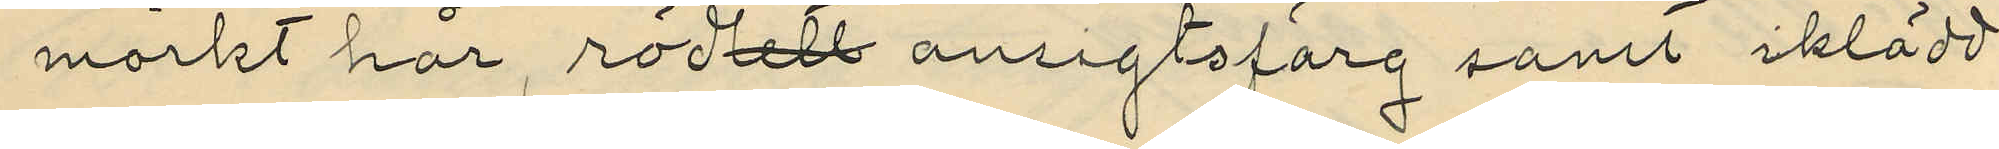mörkt hår rödlett ansigtsfärg samt iklädd
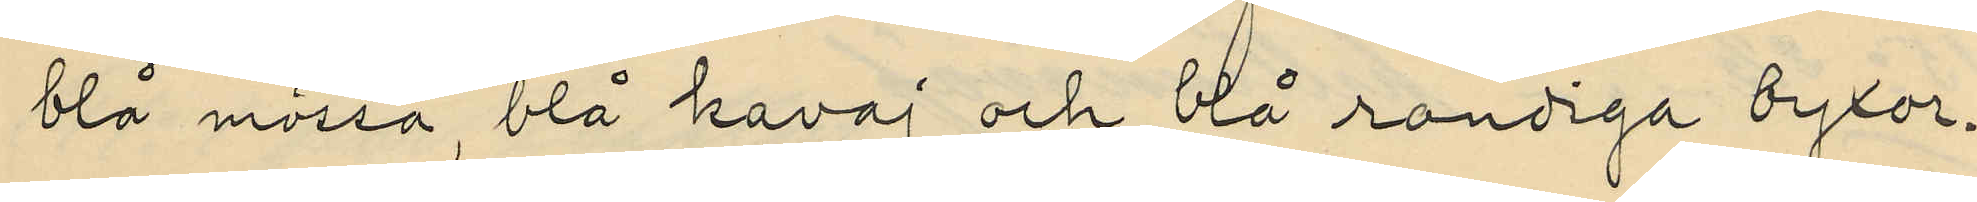blå mössa, blå kavaj och blå randiga byxor.
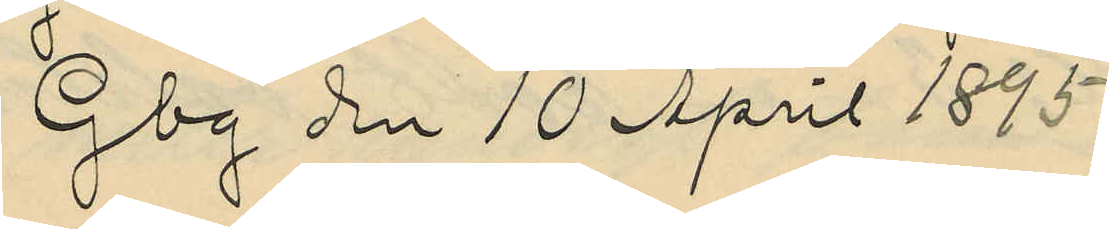Gbg den 10 April 1895
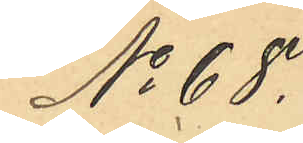No 68.
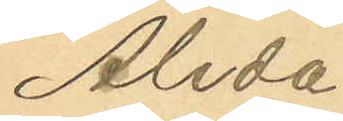Alida
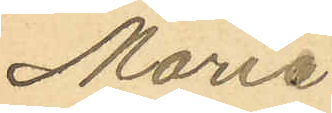Maria
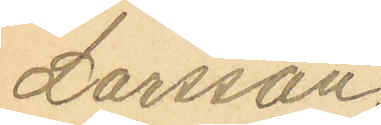Larsson
